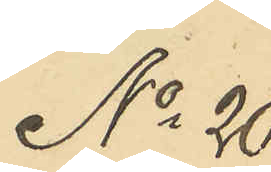No 20
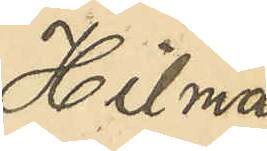Hilma
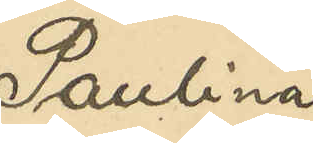Paulina
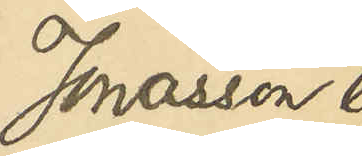Jonasson l.
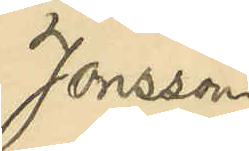Jonsson
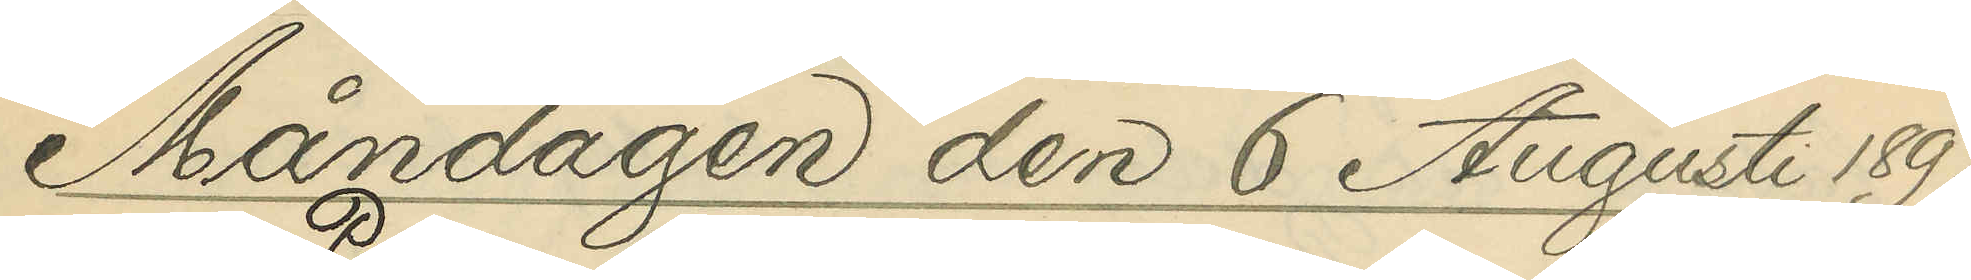Måndagen den 6 Augusti 1897
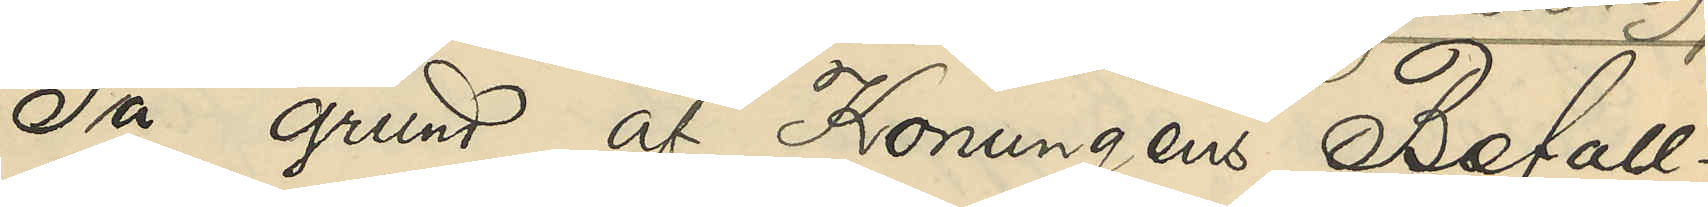På grund af Konungens Befall¬
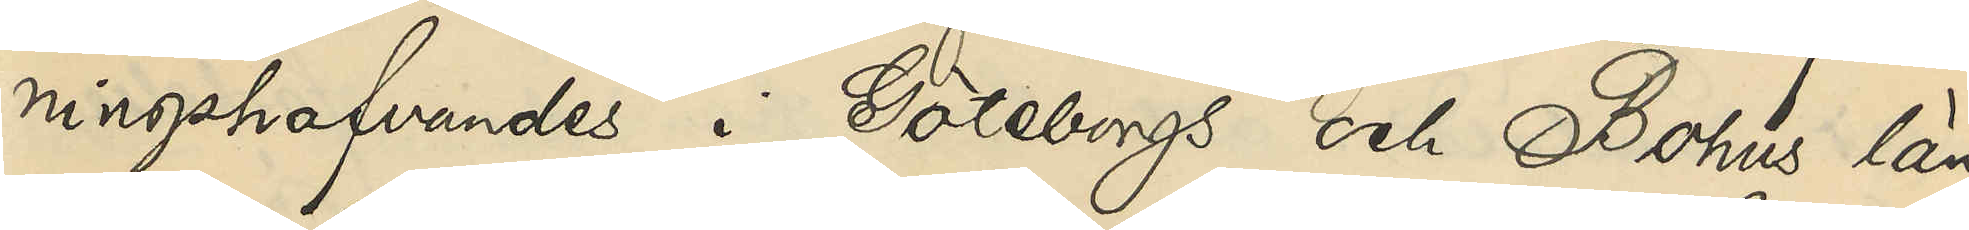ningshafvandes i Göteborgs och Bohus län
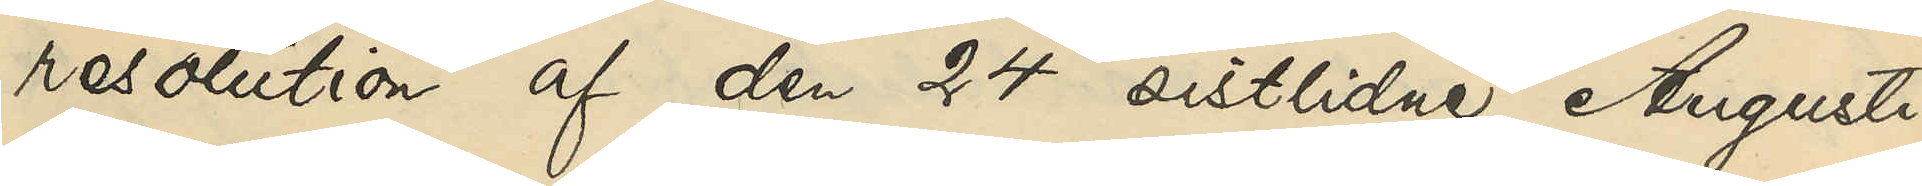resolution af den 24 sistlidne Augusti,
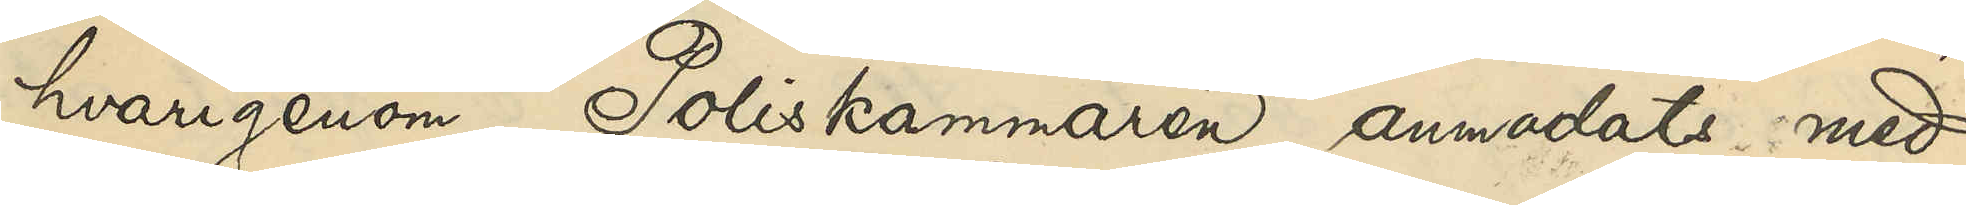hvarigenom Poliskammaren anmodats med
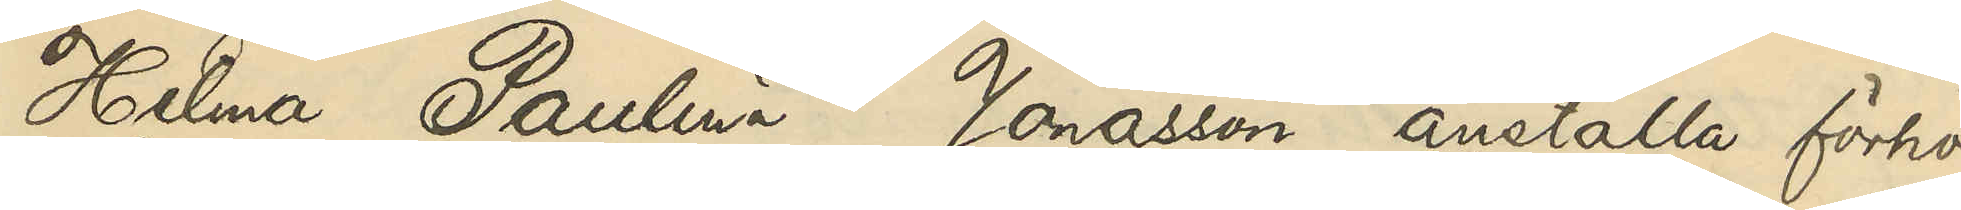Hilma Paulina Jonasson anställa förhör
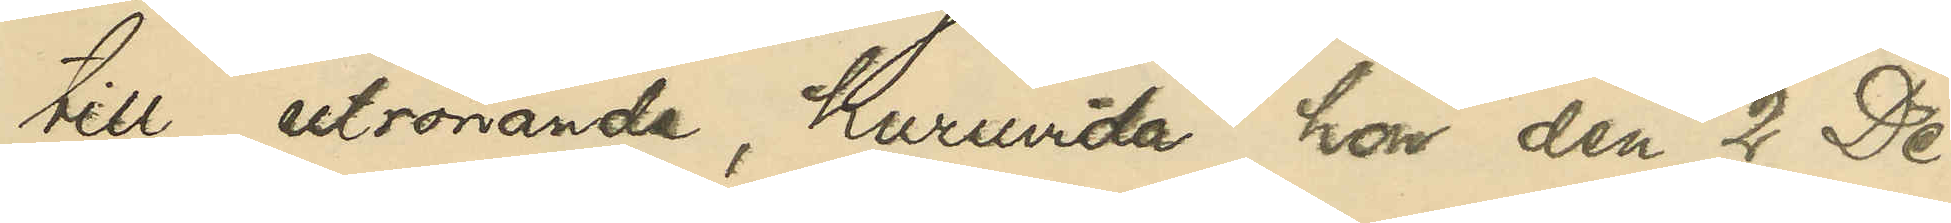till utrönande, huruvida hon den 2 De¬
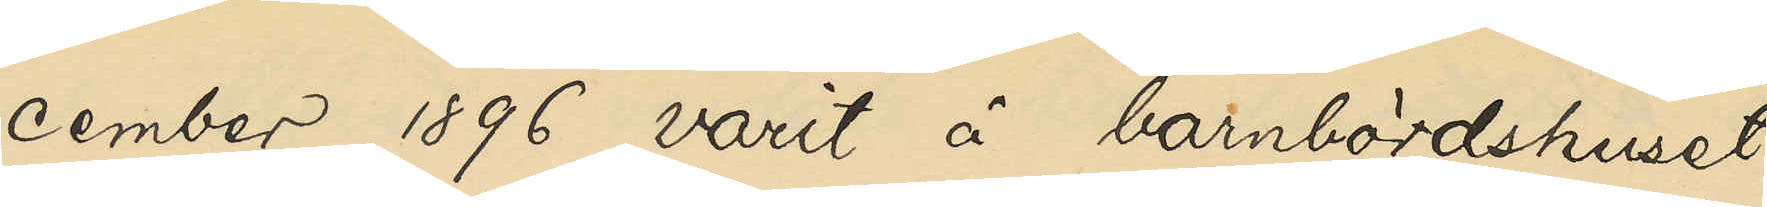cember 1896 varit å barnbördshuset
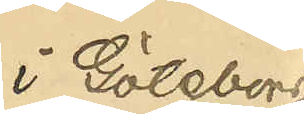i Göteborg
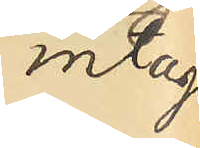intagen
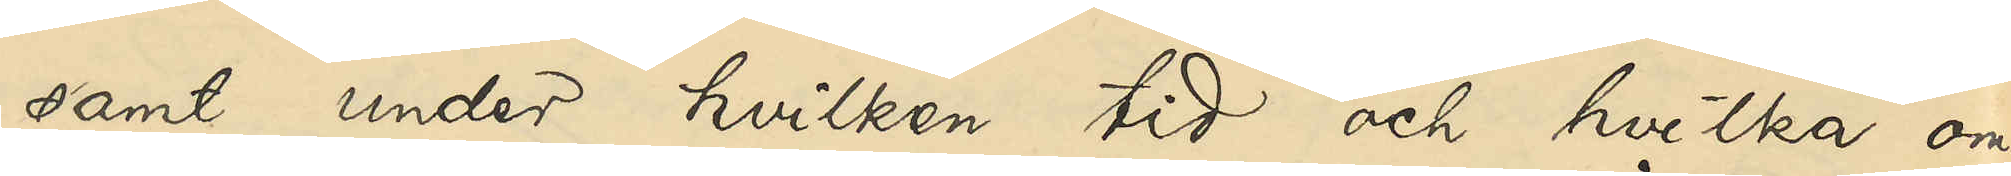samt under hvilken tid och hvilka om¬
